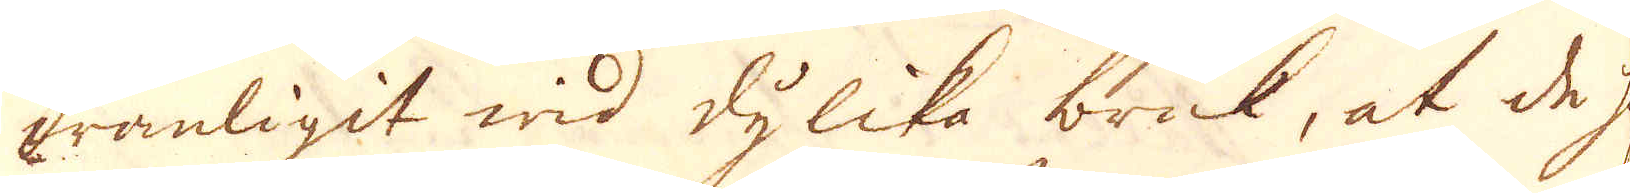wanligit wid dylika bruk, at de haf-
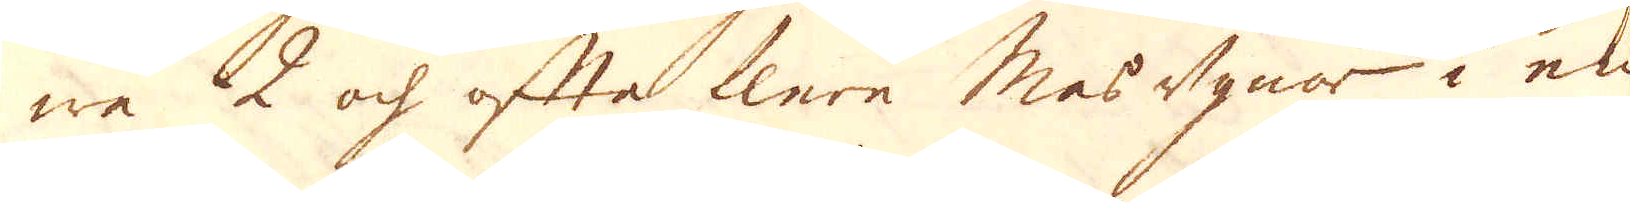we 2 och ofta flere Masugnar i en
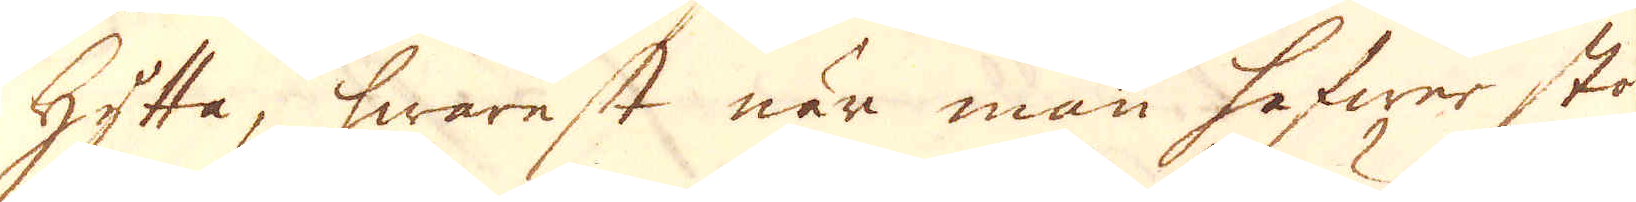hytta, hwarest när man hafwer stora
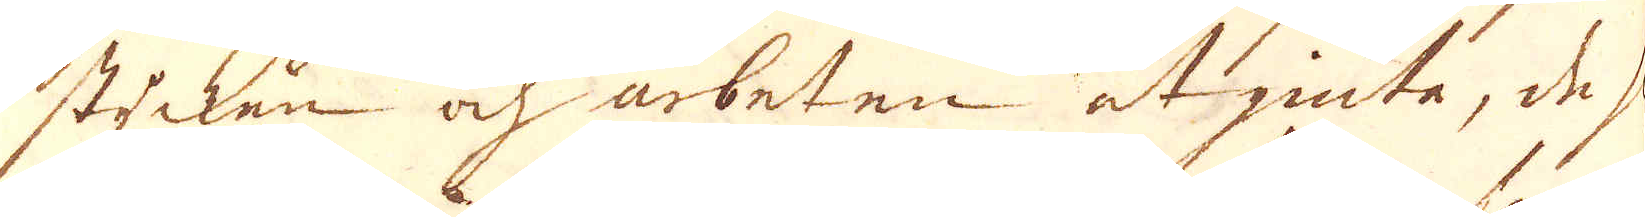stycken och arbeten at giute, de slå
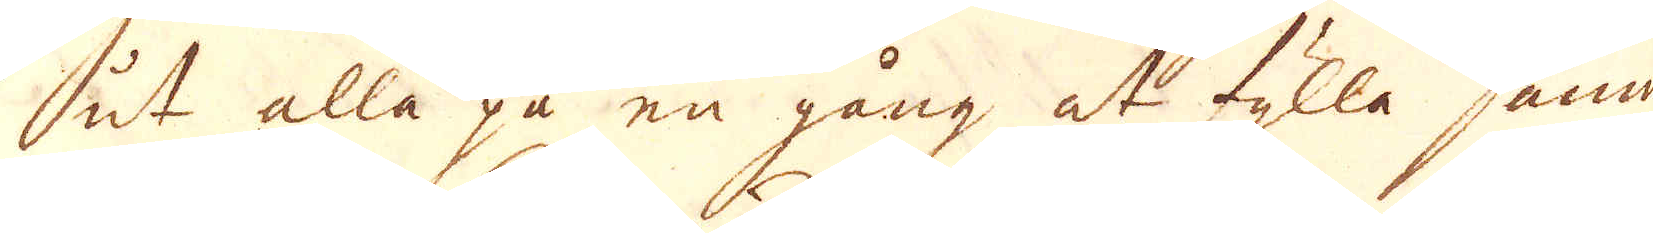ut alla på en gång at fylla samma
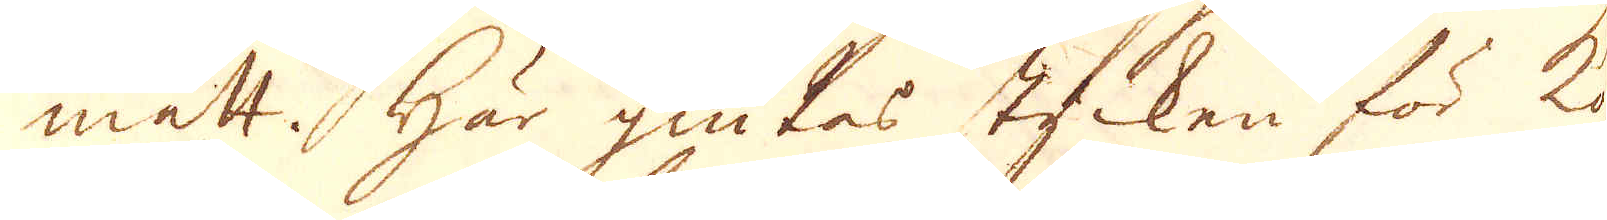mått. Här giutes stycken för ko-
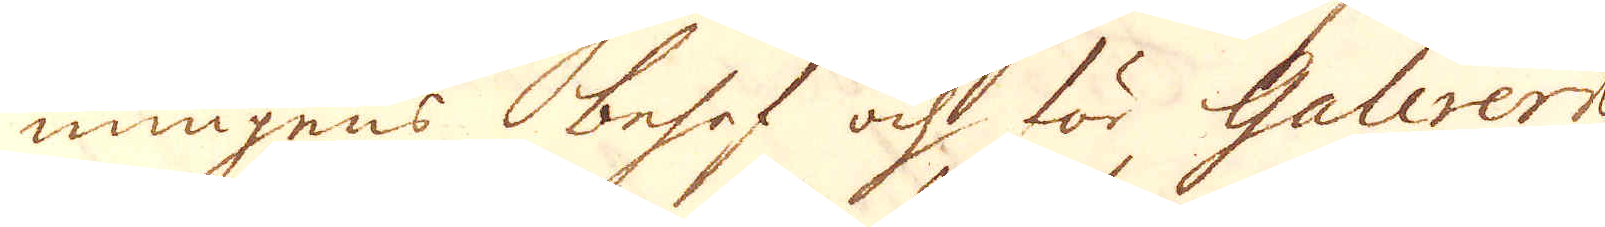nungens behof och för Guverneuren
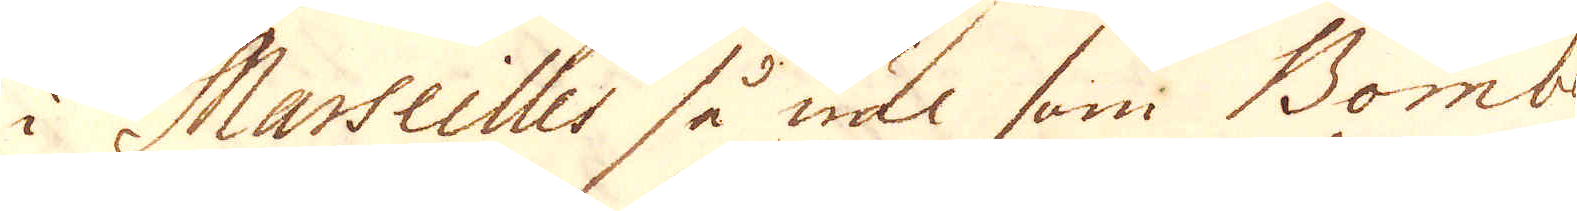i Marseilles så wäl sum Bombe
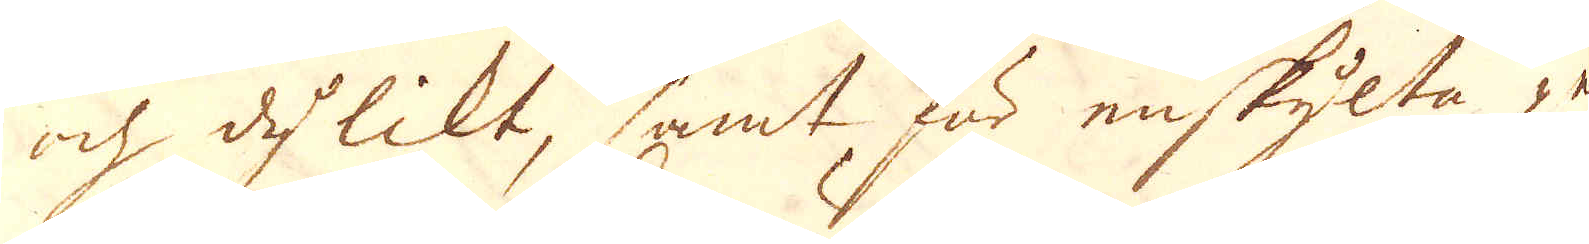och dylikt, samt här enskylta per-
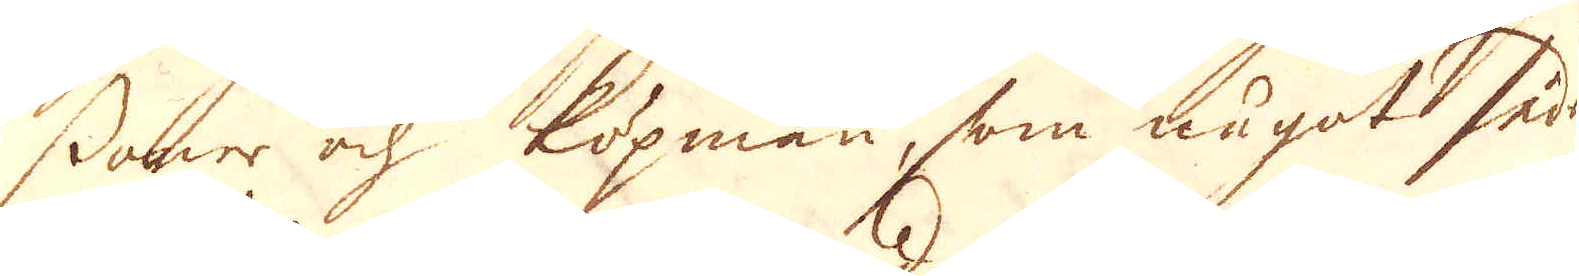soner och Köpmän, som något sådant
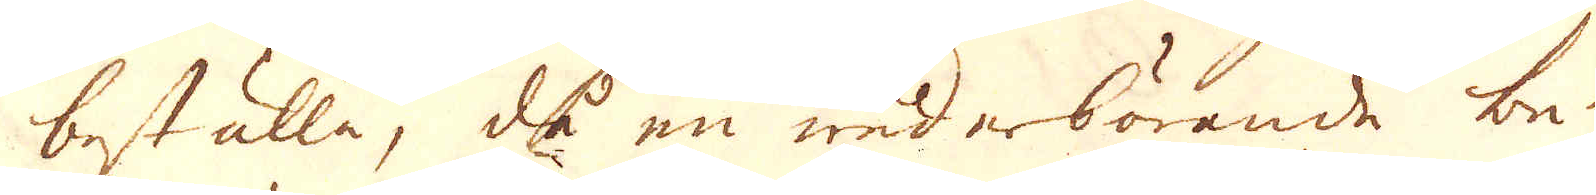beställa, då en wederbörande be-
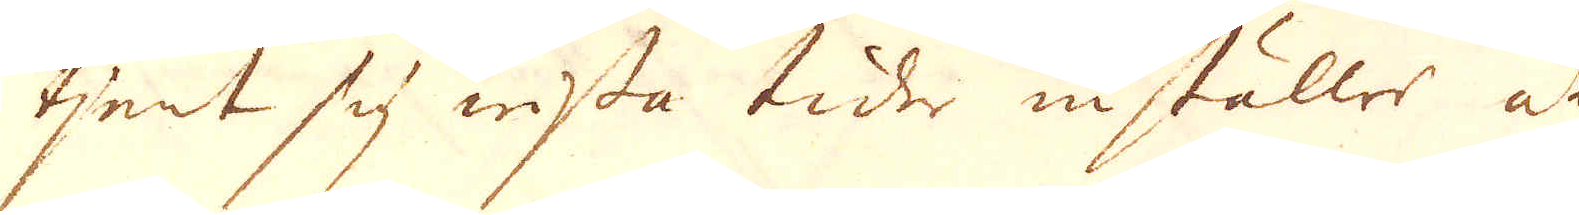tjent sig wissta tider inställer at
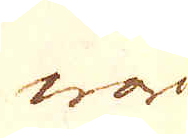war
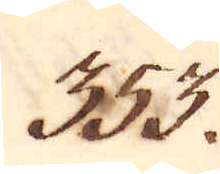353.
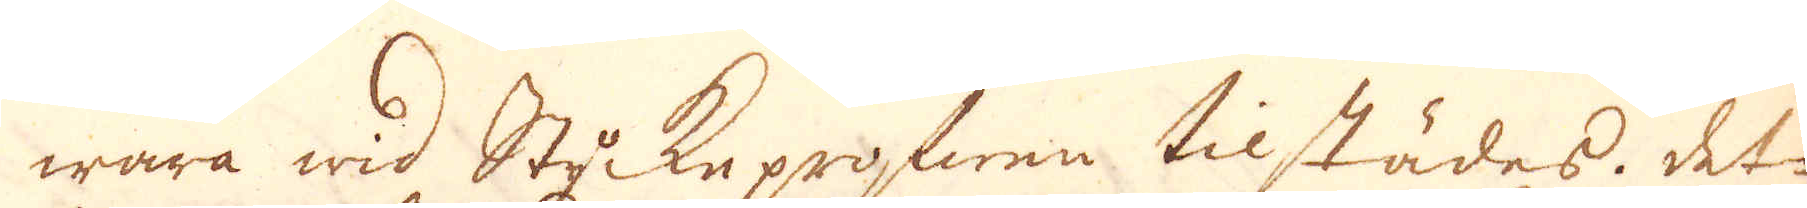wara wid Styckeprofwen tilstädes. Det-
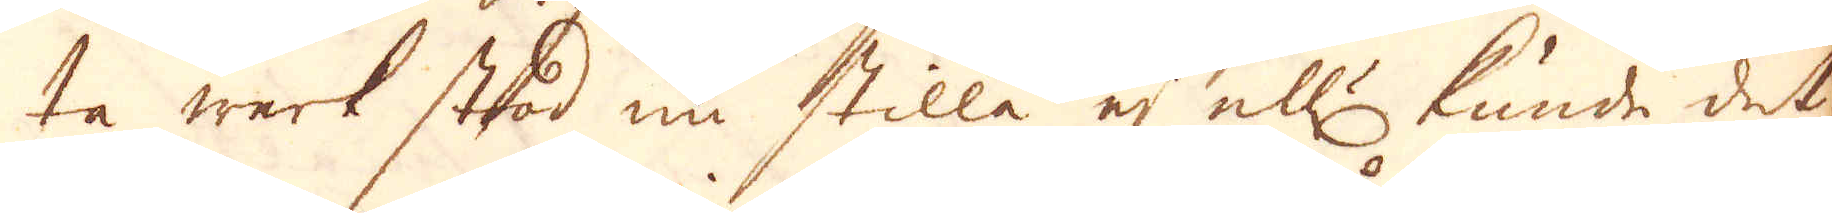ta werk stod nu stilla ej ell:r kunde det
